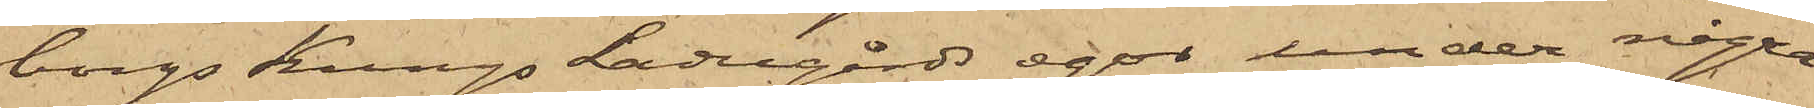borgs Kungs Ladugårds egor under några
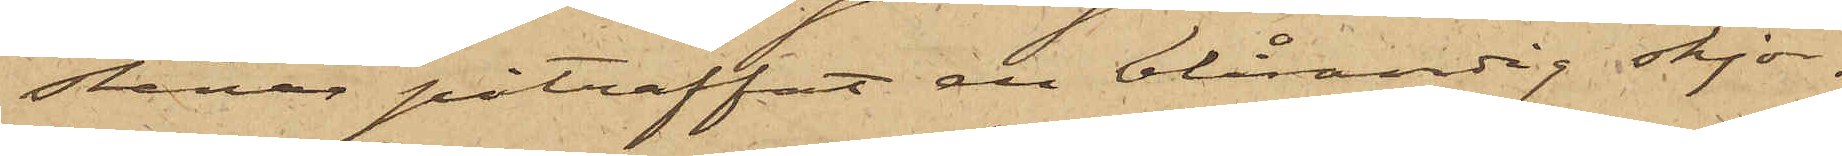stenar påträffat en blårandig skjor¬
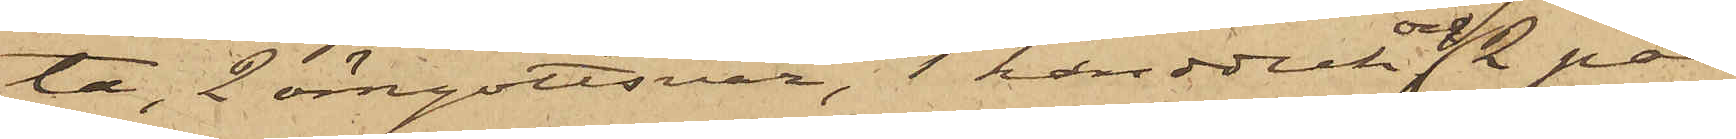ta, 2 örngottsvar, 1 handduk och 2 par
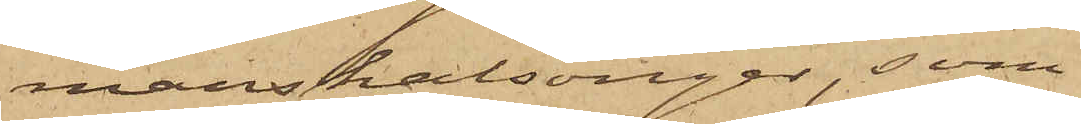manskalsonger, som
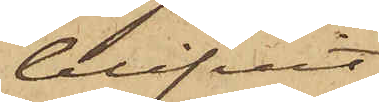blifvit
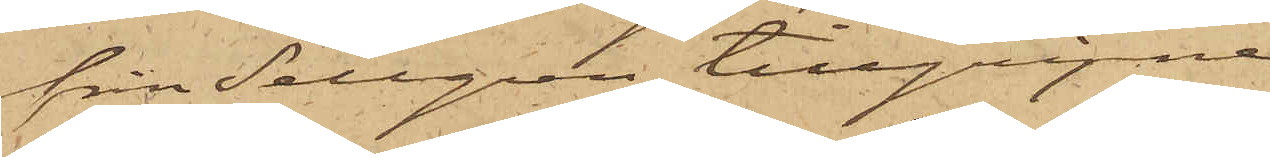från Sellgren tillgripna
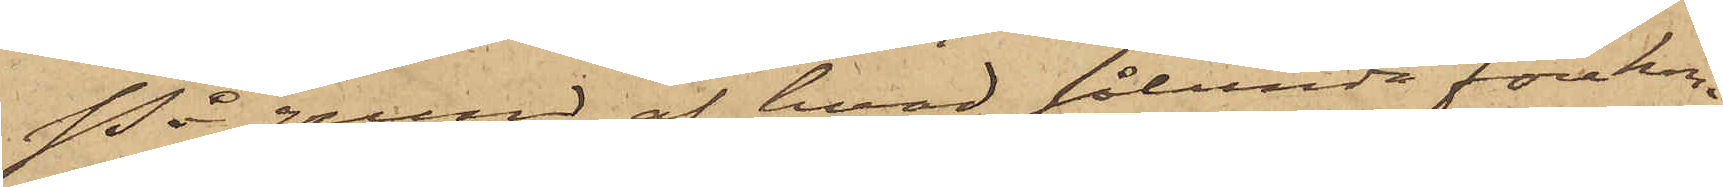På grund af hvad sålunda förekom¬
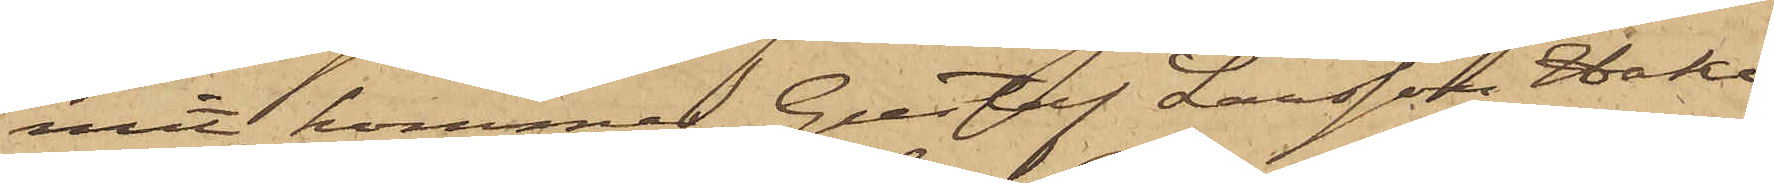mit, kommer Gustaf Larsson Hake,
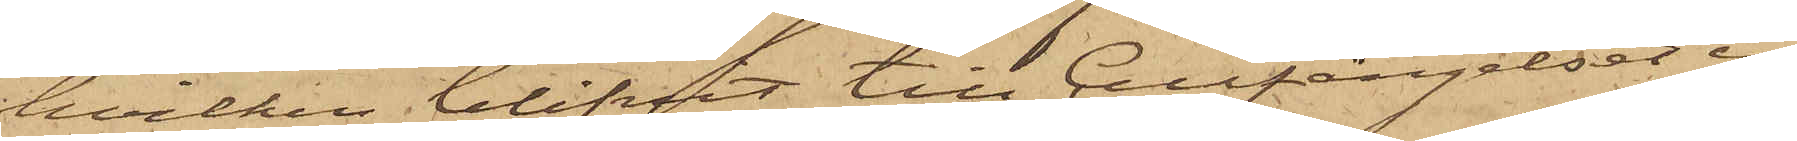hvilken blifvit till Cellfängelset in¬
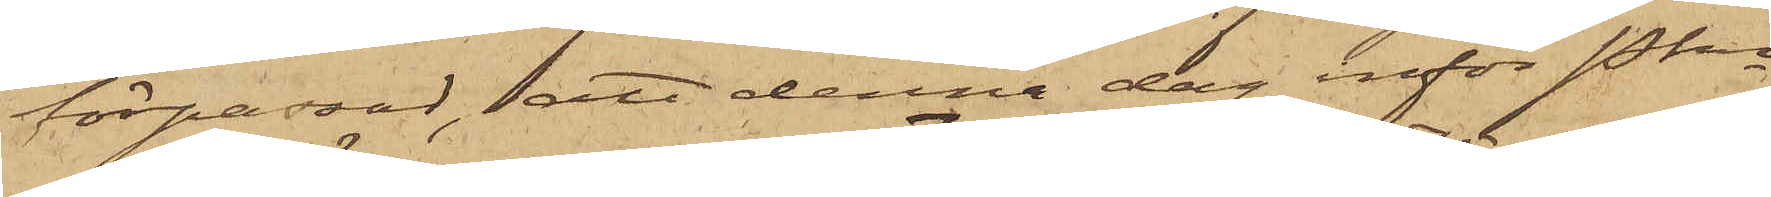förpassad, att denna dag inför Pkn
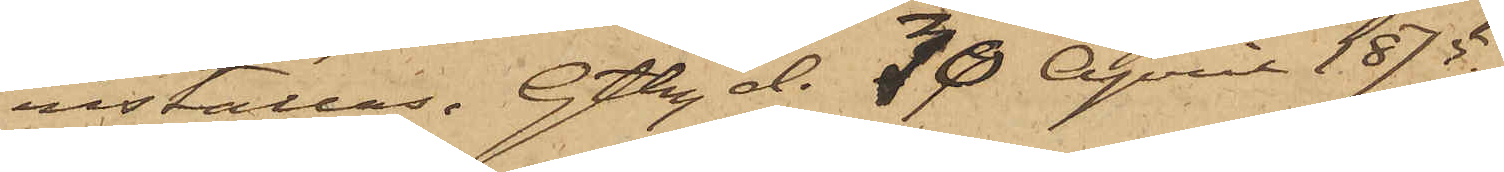inställas. Gtbg d. 30 April 1875.
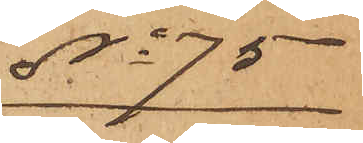No 75
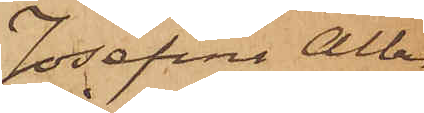Josefina Alber¬
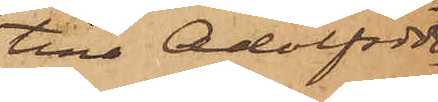tina Adolfsdot¬
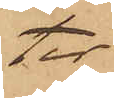ter
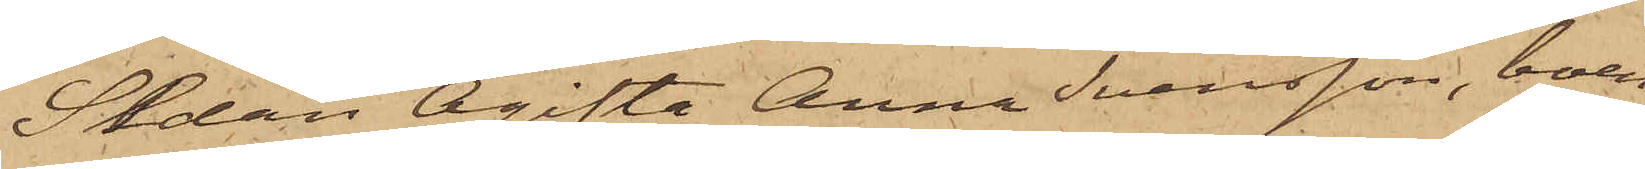Sedan Ogifta Anna Svensson, boen¬
